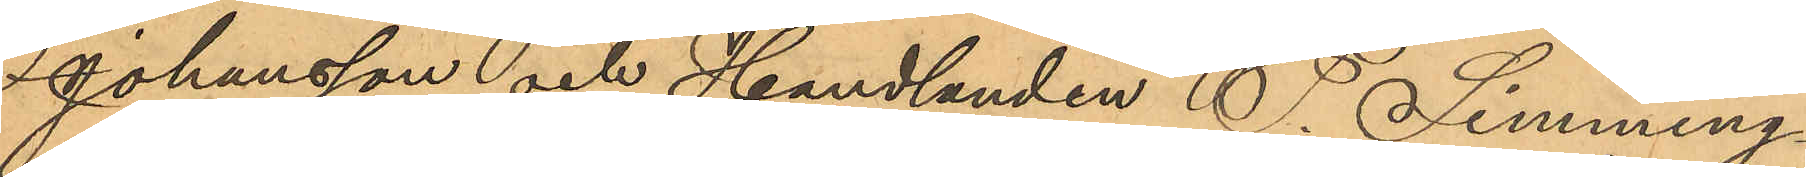Johansson och Handlanden F. Limming¬
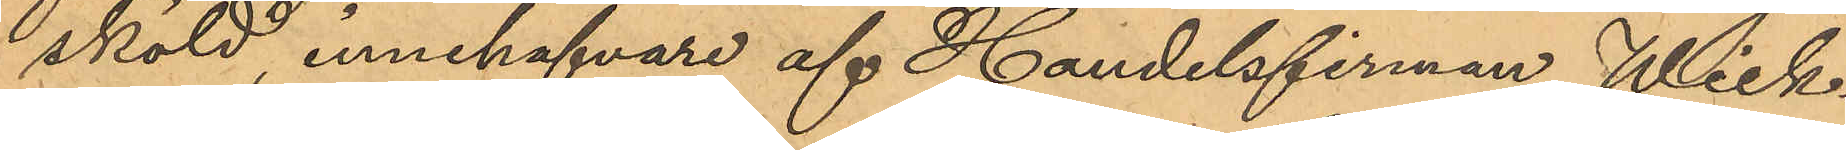sköld innehafvare af Handelsfirman Wick¬
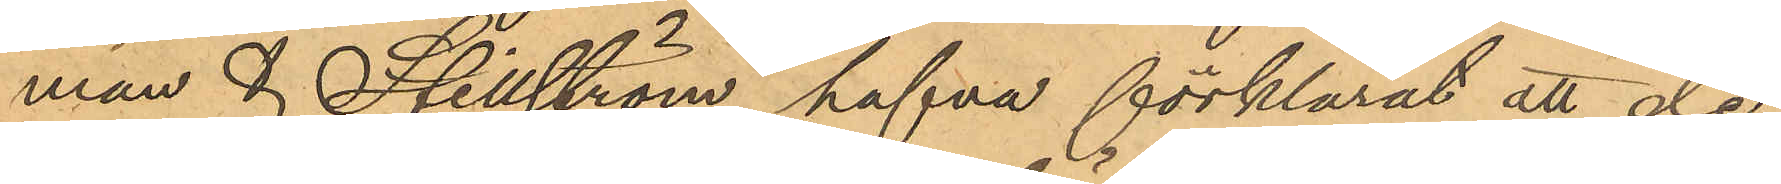man & Stillström hafva förklarat att de,
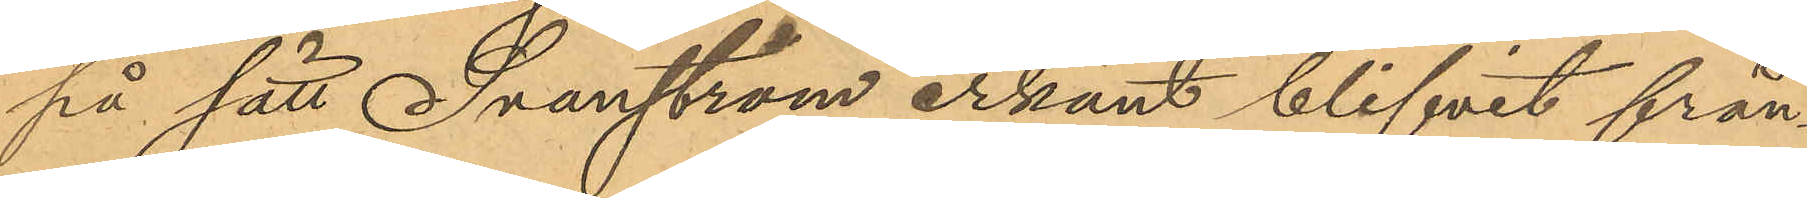på sätt Svanström erkänt blifvit från¬
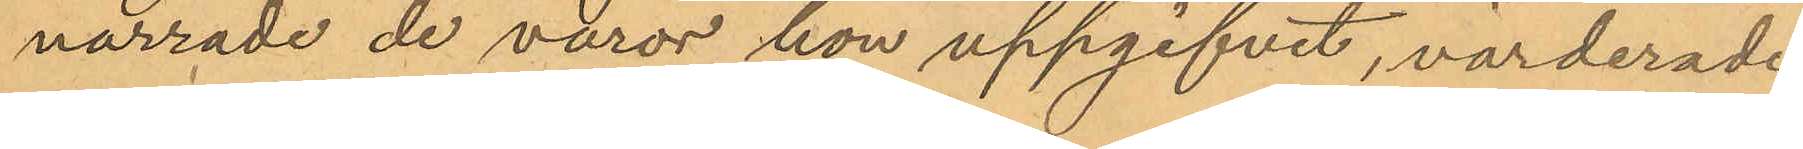narrade de varor hon uppgifvit, värderade
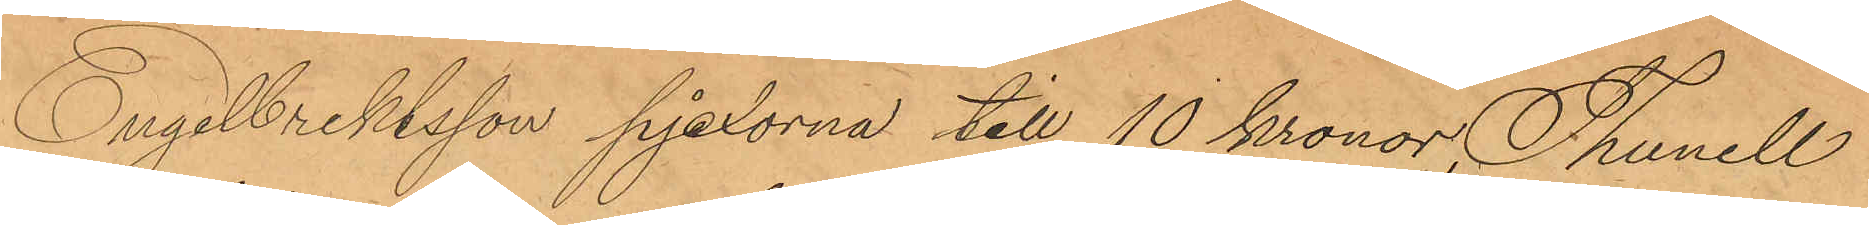Engelbrektsson pjexorna till 10 Kronor, Thunell
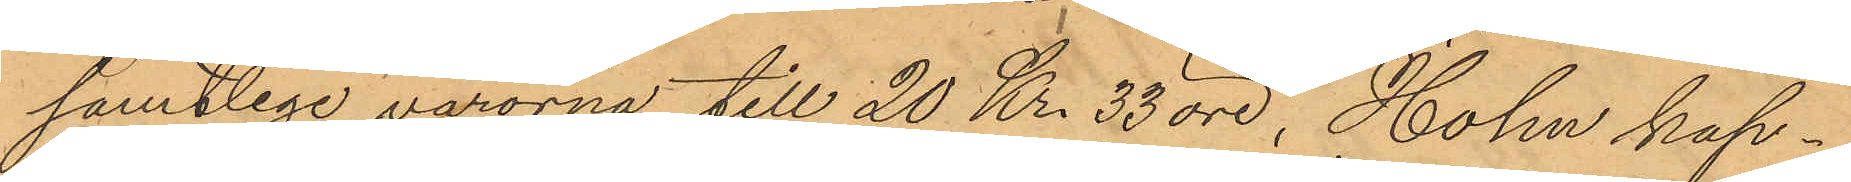samtlige varorna till 20 Kr. 33 öre, Holm kap¬
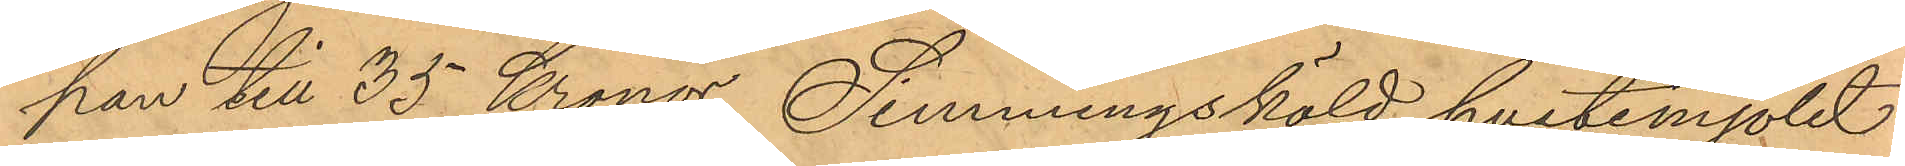pan till 35 Kronor, Simmingsköld hvetemjölet
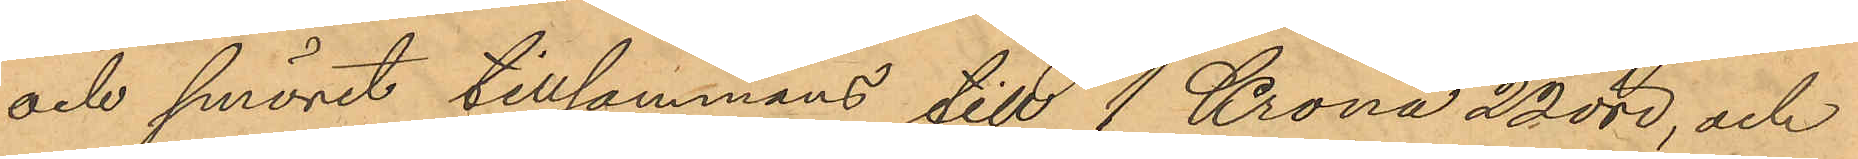och smöret tillsammans till 1 Krona 22 öre, och
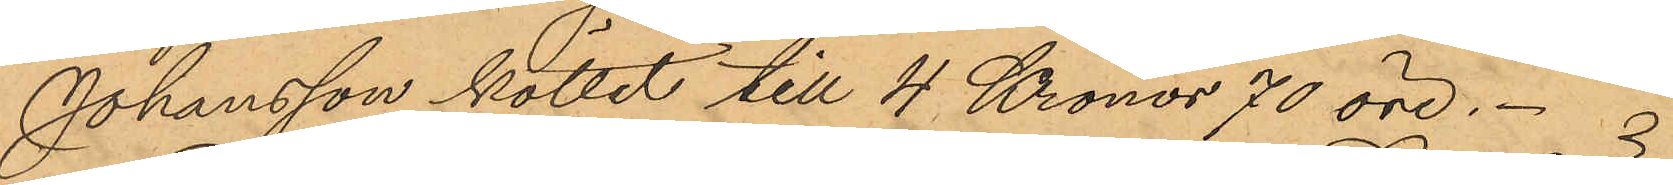Johansson köttet till 4 Kronor 70 öre. 
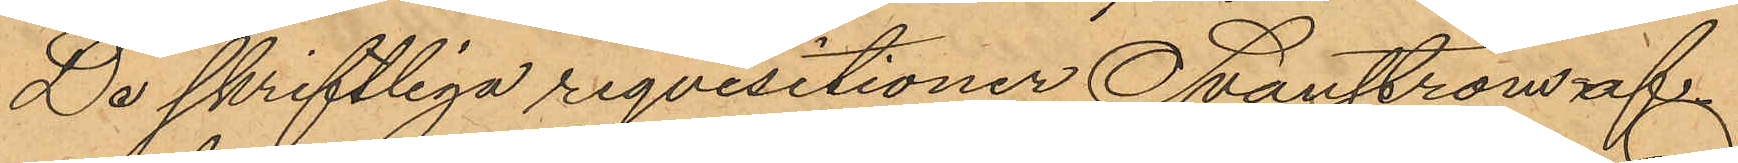De skriftliga reqvisitioner Svanström af¬
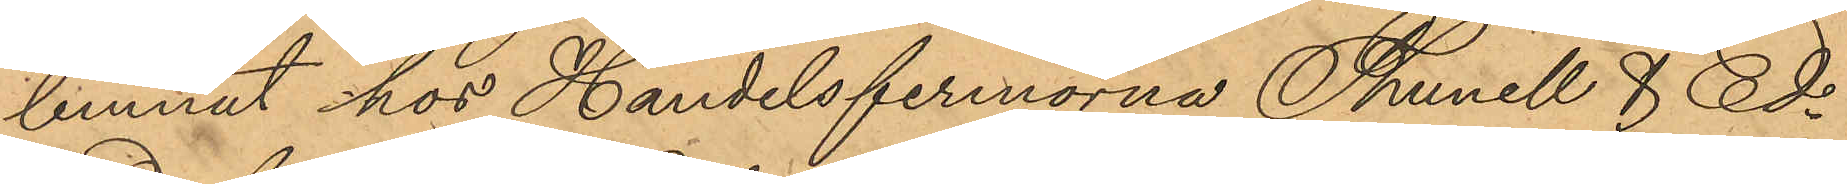lemnat hos Handelsfirmorna Thunell & Ed¬
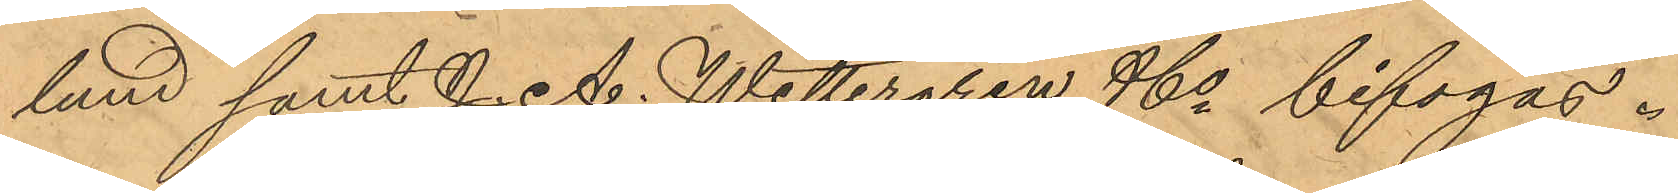lund samt J. A. Wettergren & Co bifogas.
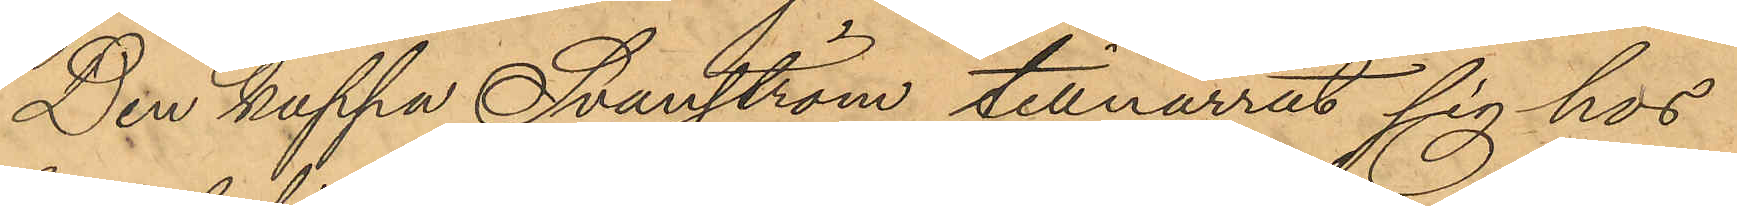Den kappa Svanström tillnarrat sig hos
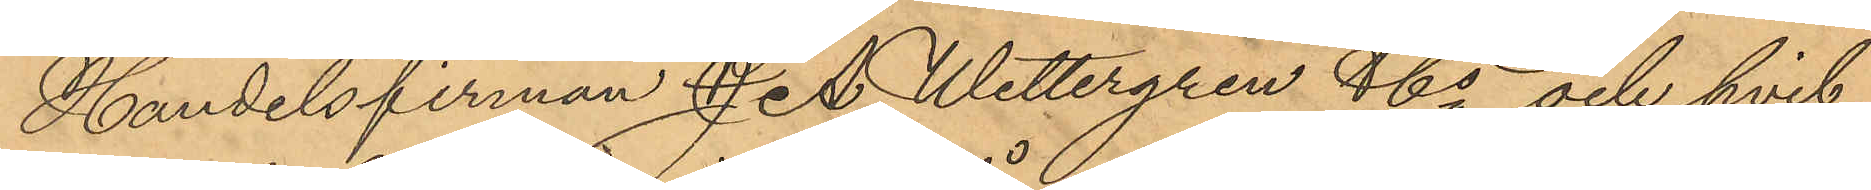Handelsfirman J. A. Wettergren & Co och hvil¬
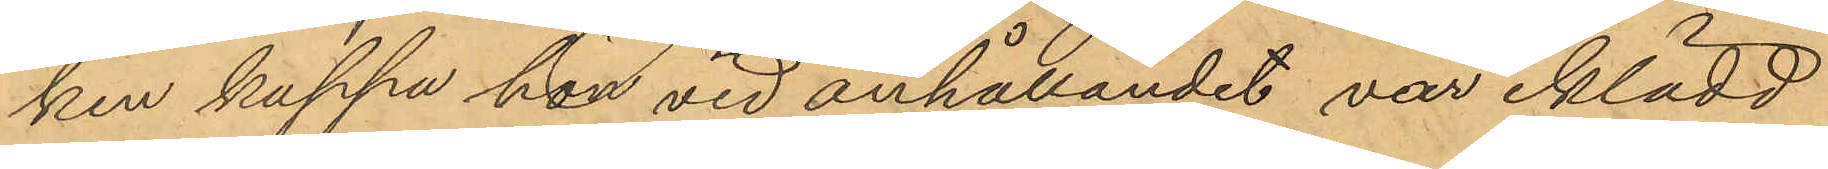ken kappa han vid anhållandet var iklädd
